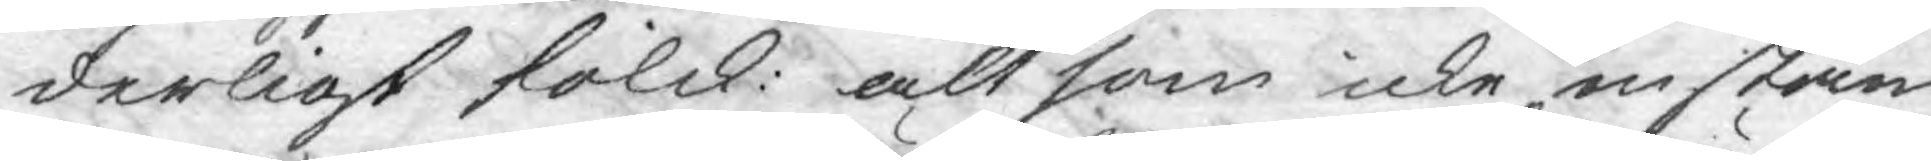derligt folck: alt som icke instäm¬
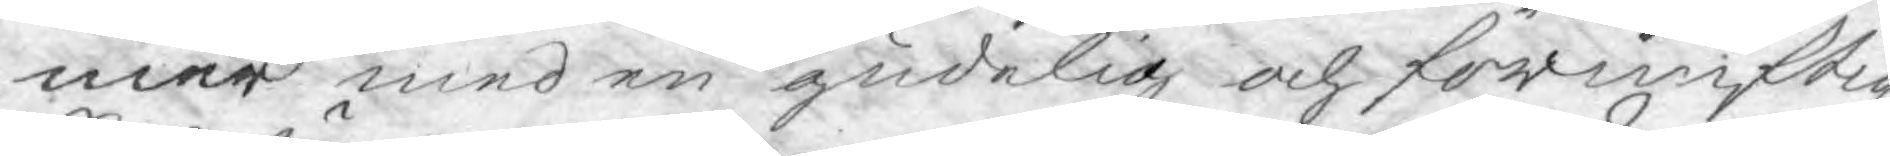mer med en gudelig och förnuftig
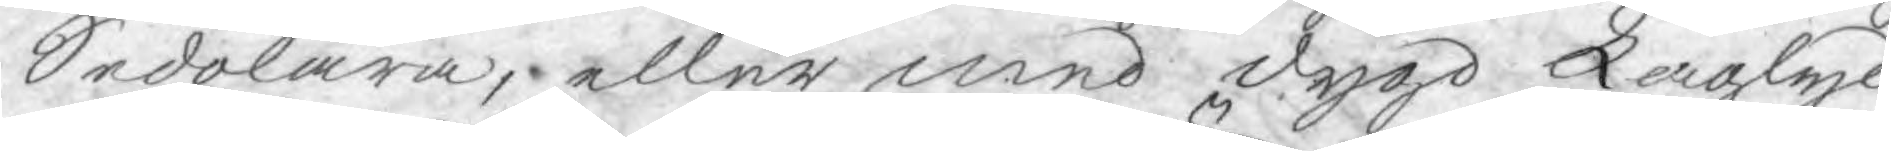Sedolära, eller med dygd Laglyd¬
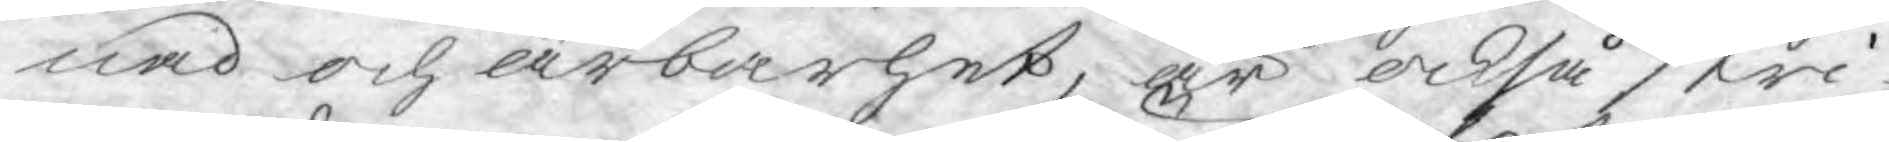nad och ärbarhet, är också stri¬
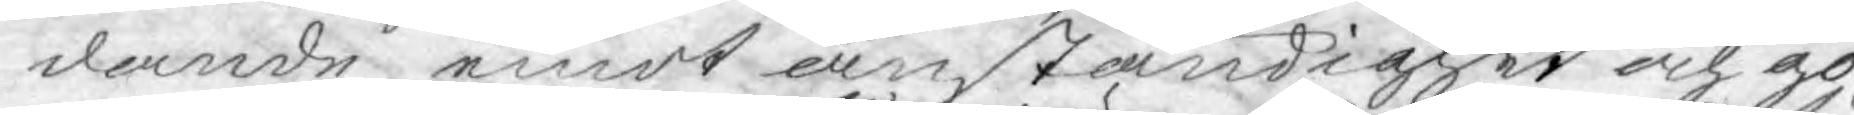dande emot anständiget och go¬
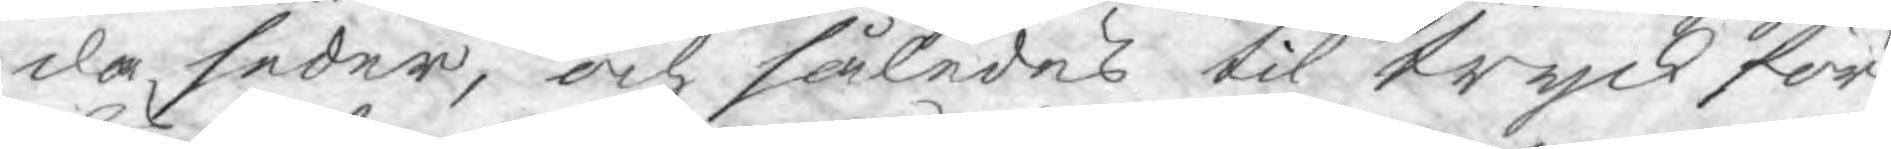da seder, och således til tryck för¬
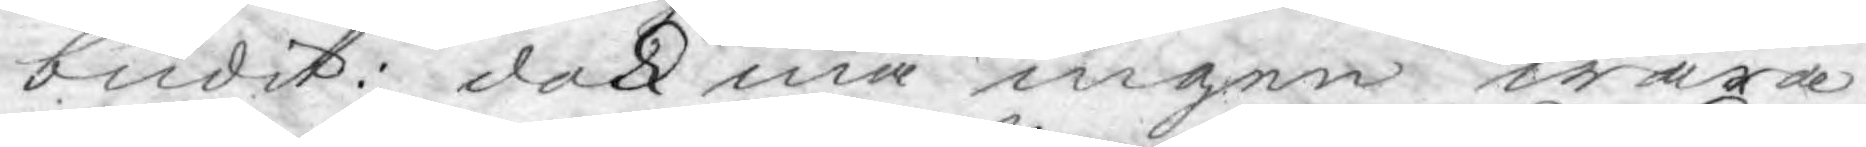budit: dock må ingen wara
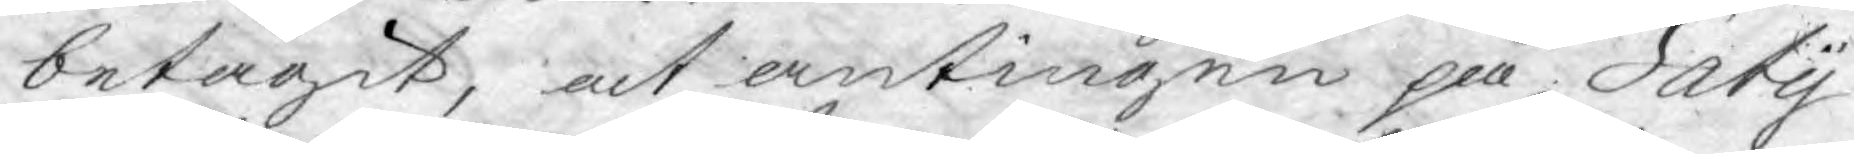betagit, at antingen på Saty¬
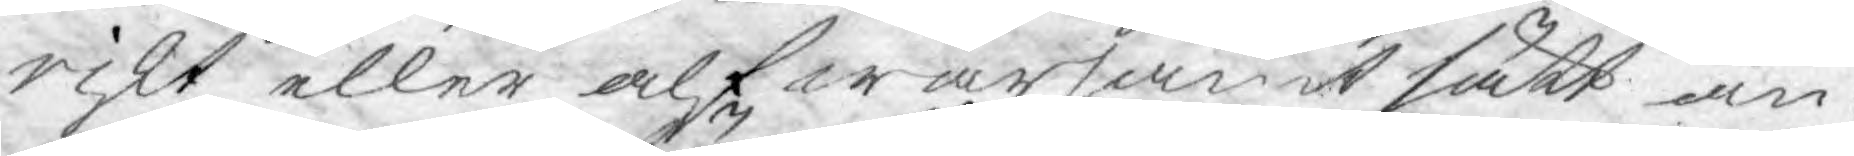riskt eller alfwarsamt sätt an¬
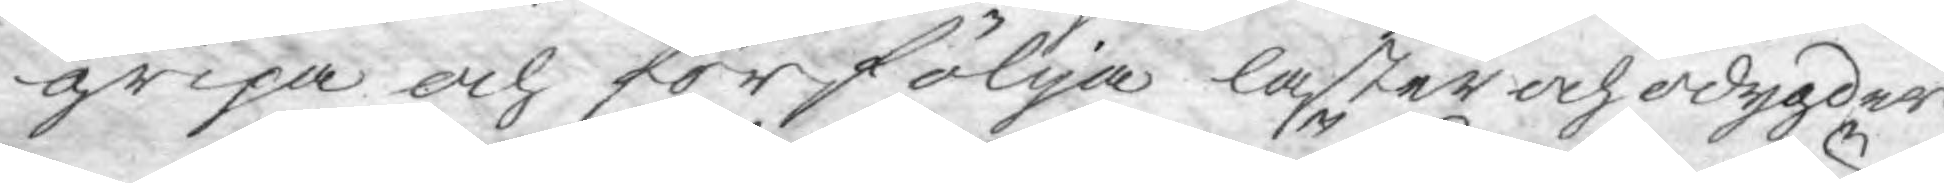gripa och förfölja laster och odygder.
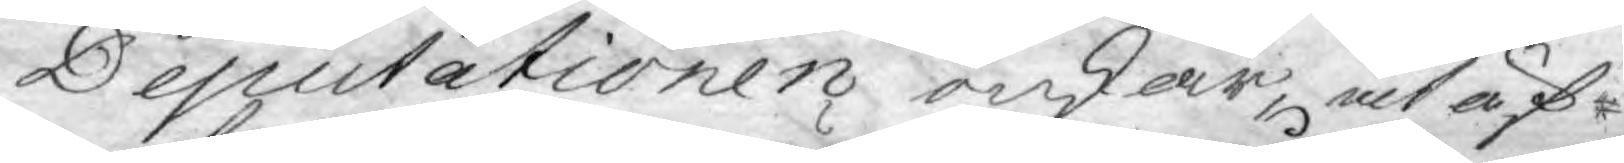Deputationen önskar, at äf¬
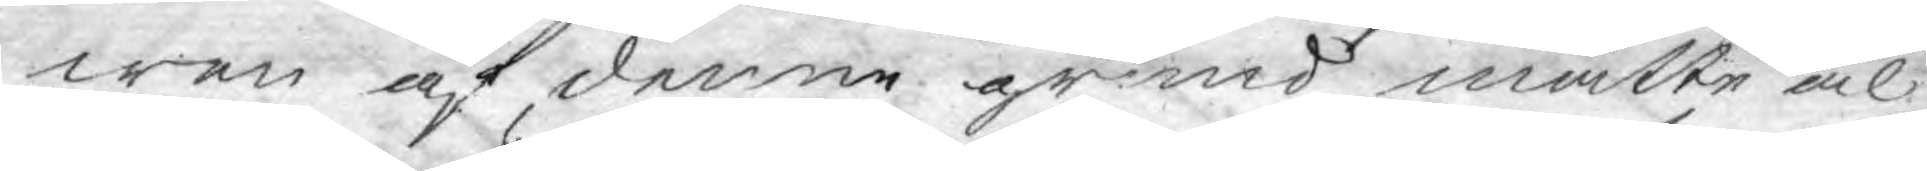wen af denne grund måtte al¬
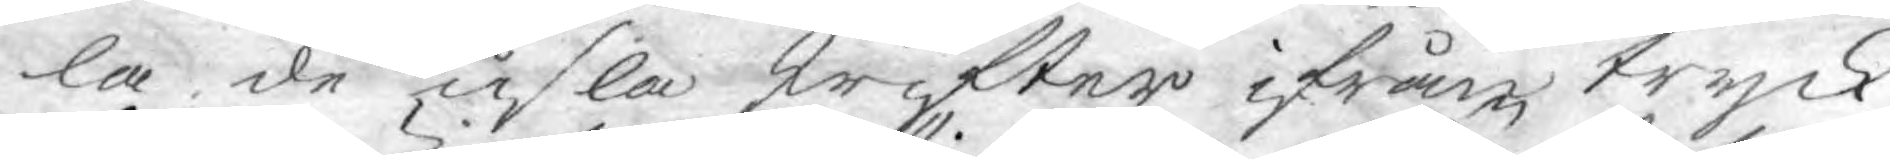la de usla skrifter ifrån tryck
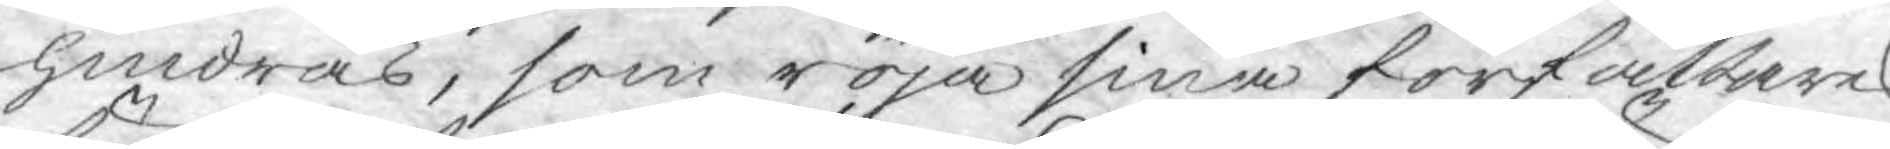hindras, som röja sina författares
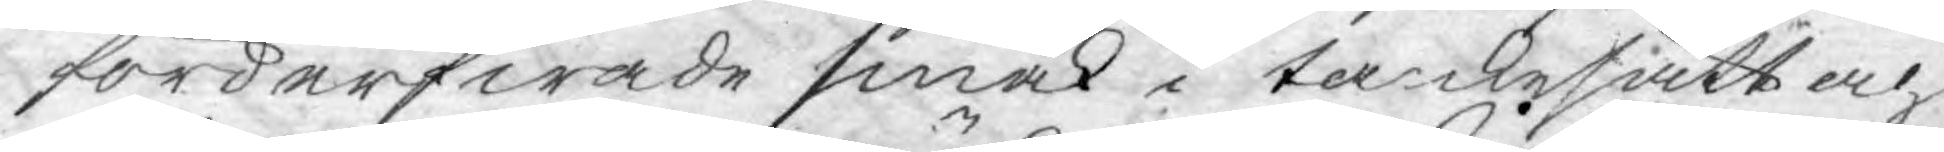förderfwade smak i tankesätt och
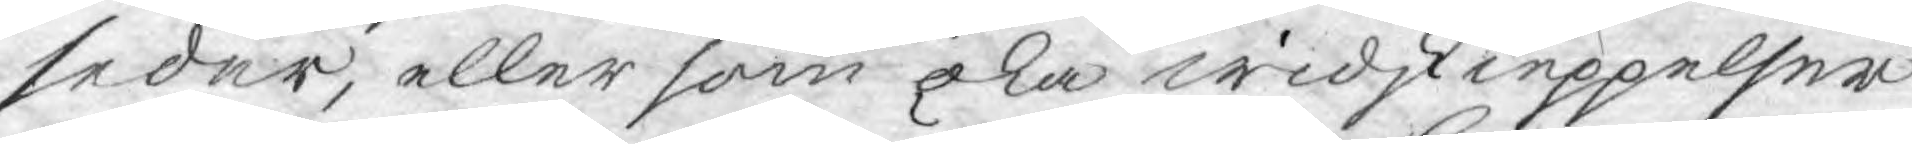seder, eller som öka widskieppelser
